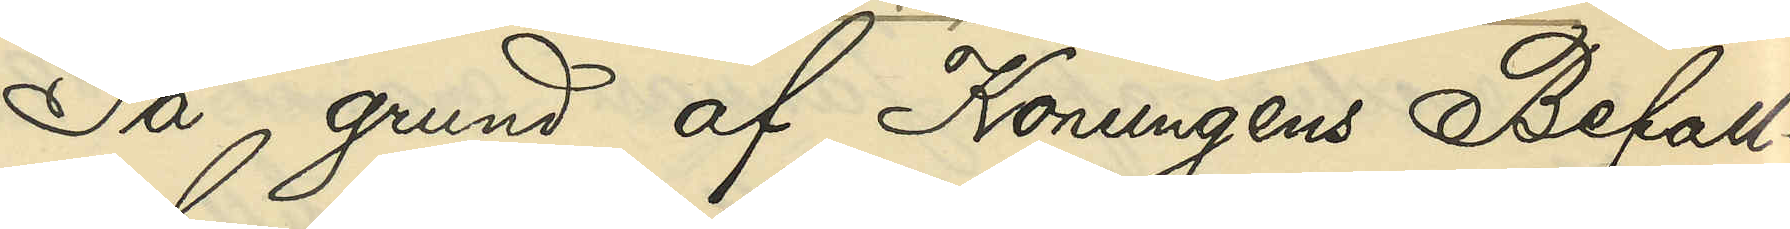På grund af Konungens Befall¬
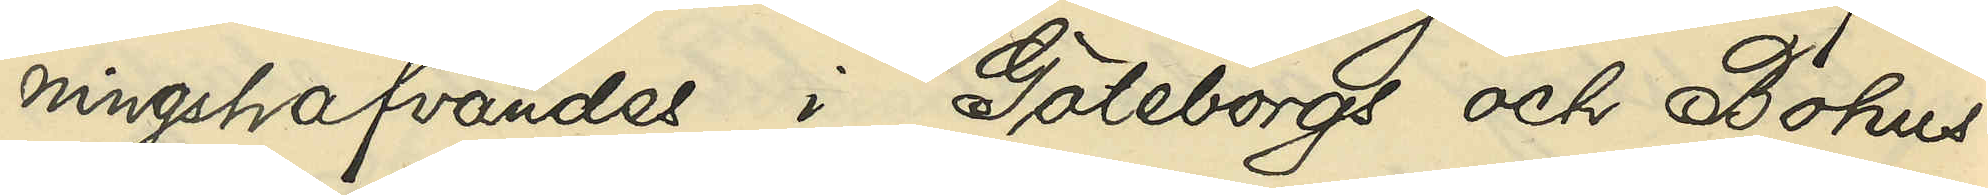ningshafvandes i Göteborgs och Bohus
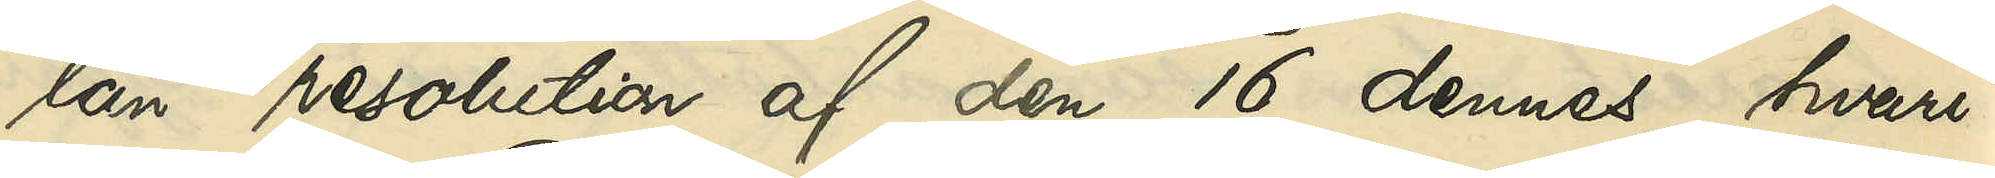län resolution af den 16 dennes, hvari¬
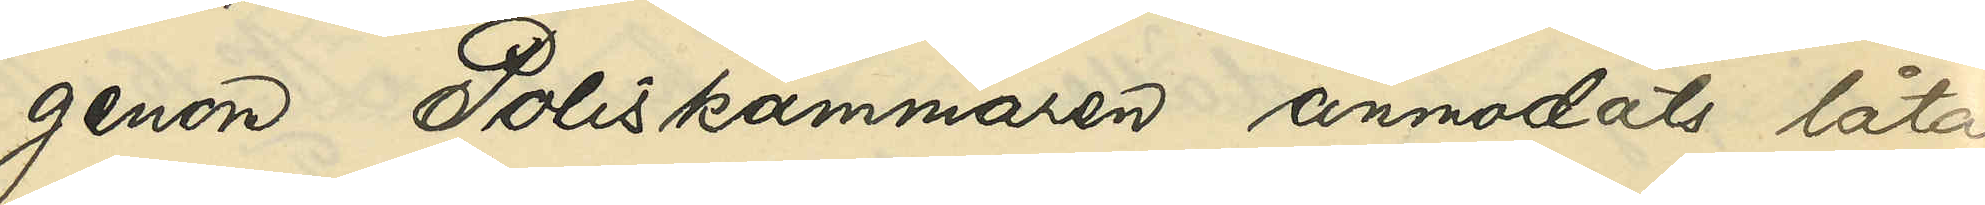genom Poliskammaren anmodats låta
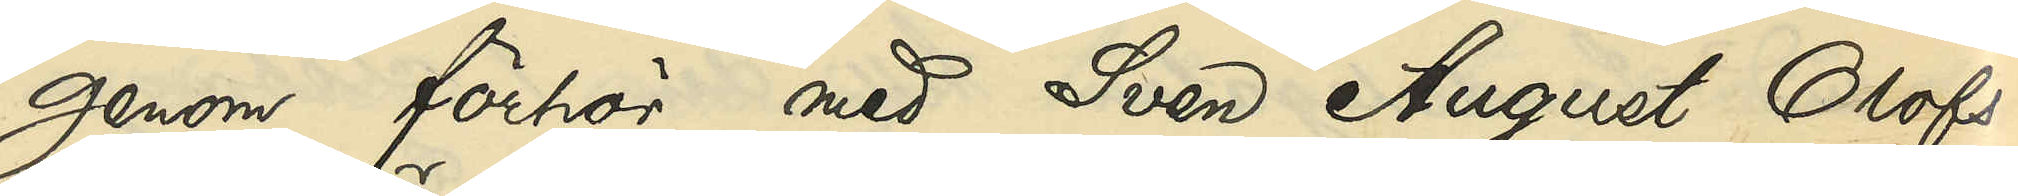genom förhör med Sven August Olofs¬
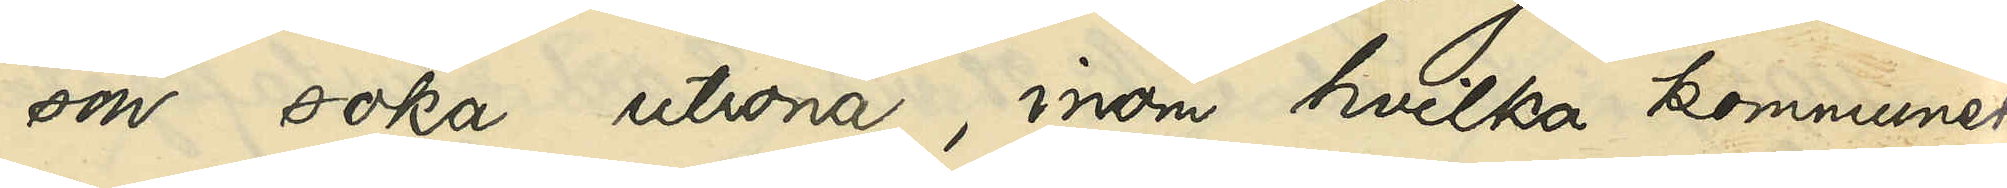son söka utröna, inom hvilka kommuner
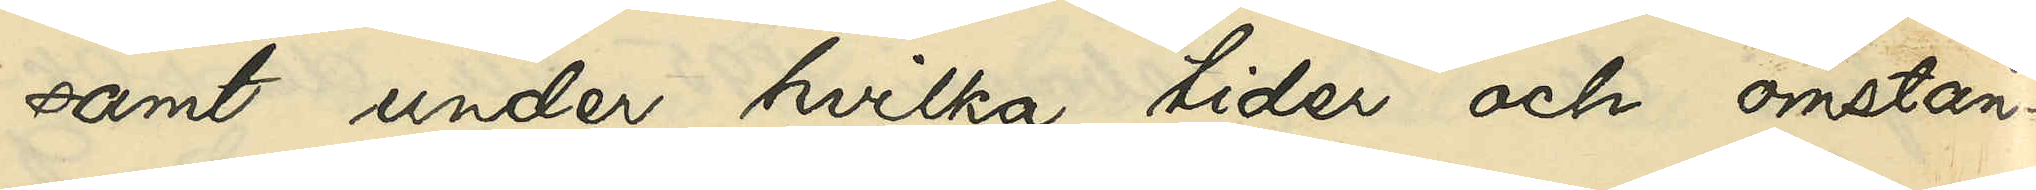samt under hvilka tider och omstän¬
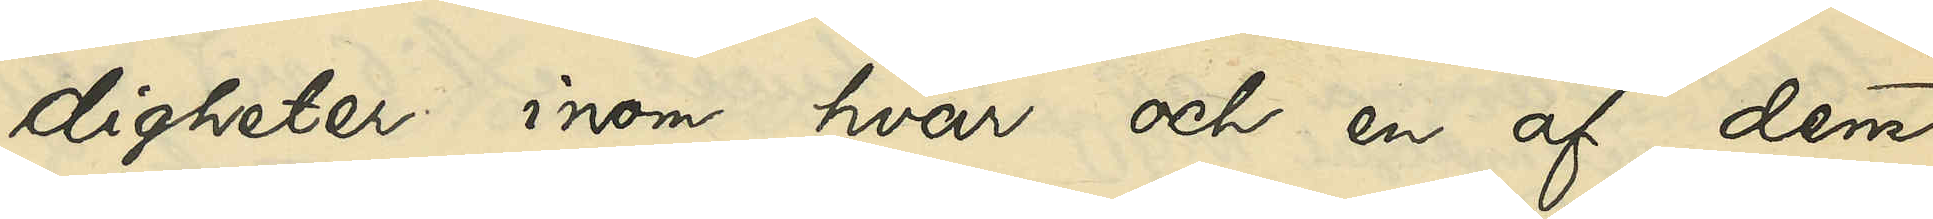digheter inom hvar och en af dem
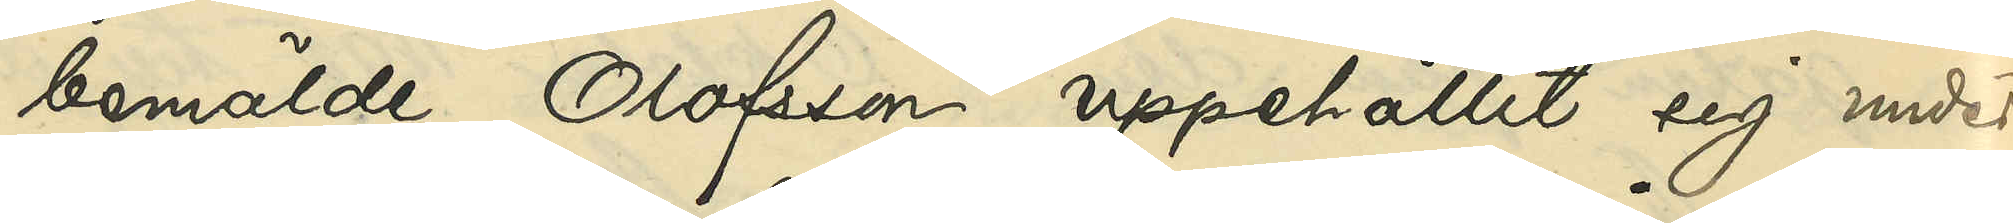bemälde Olofsson uppehållit sig under
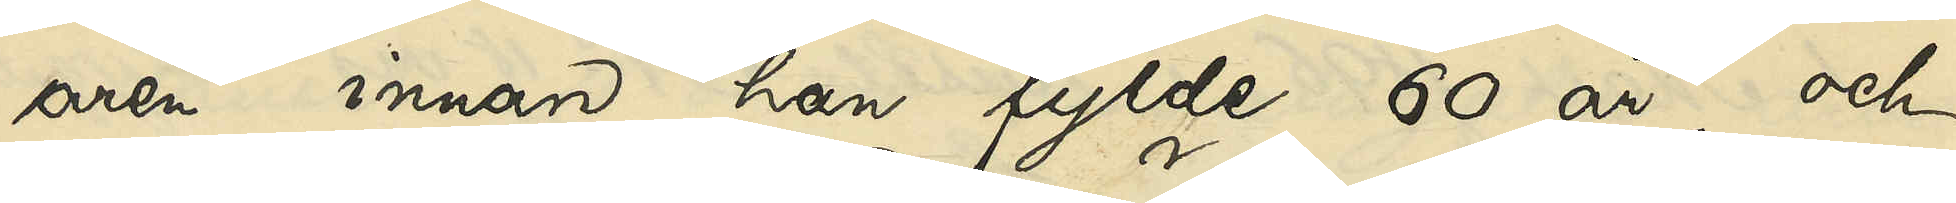åren innan han fyllde 60 år, och
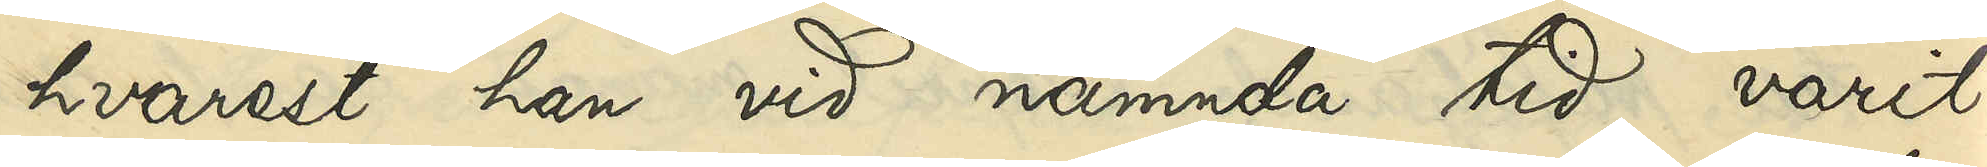hvarest han vid nämnda tid varit
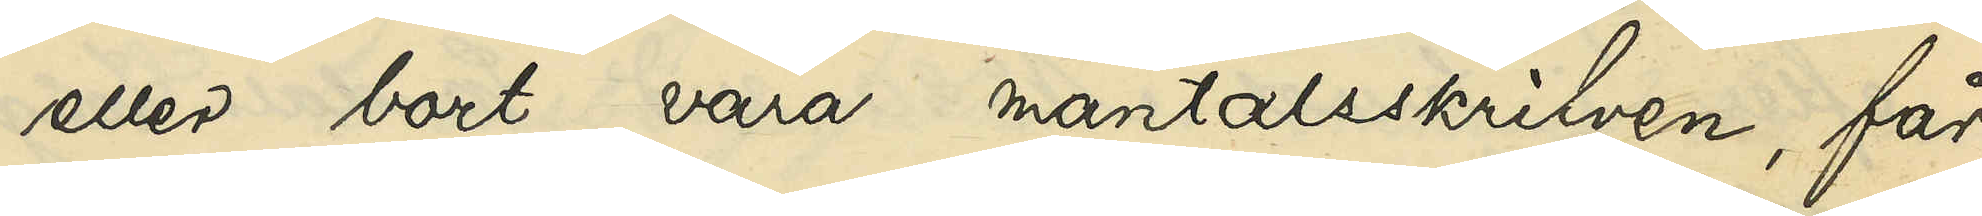eller bort vara mantalsskrifven, får
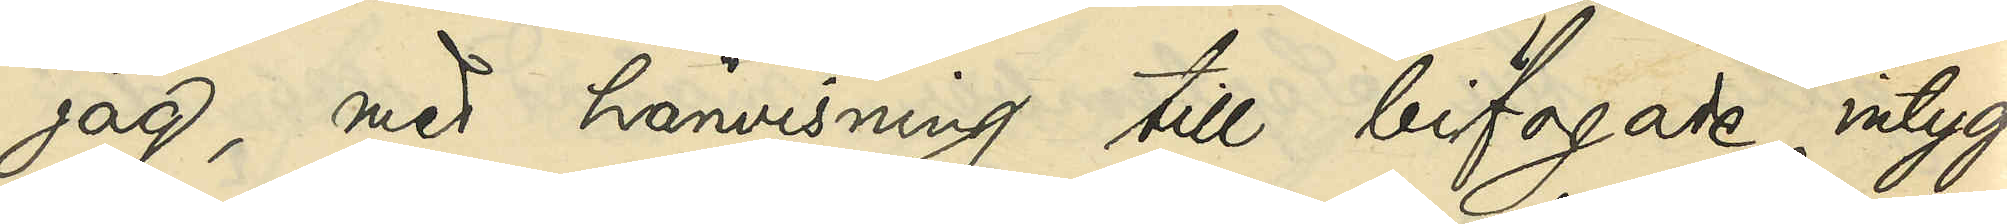jag, med hänvisning till bifogade intyg
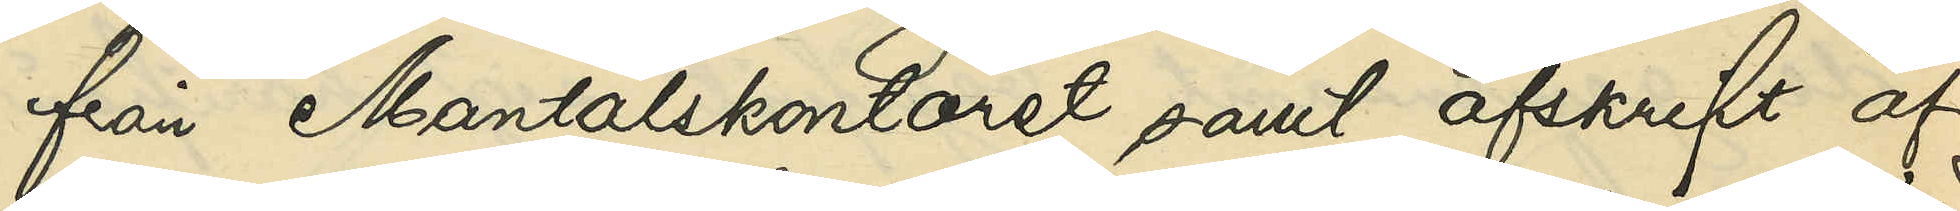från Mantalskontoret samt afskrift af
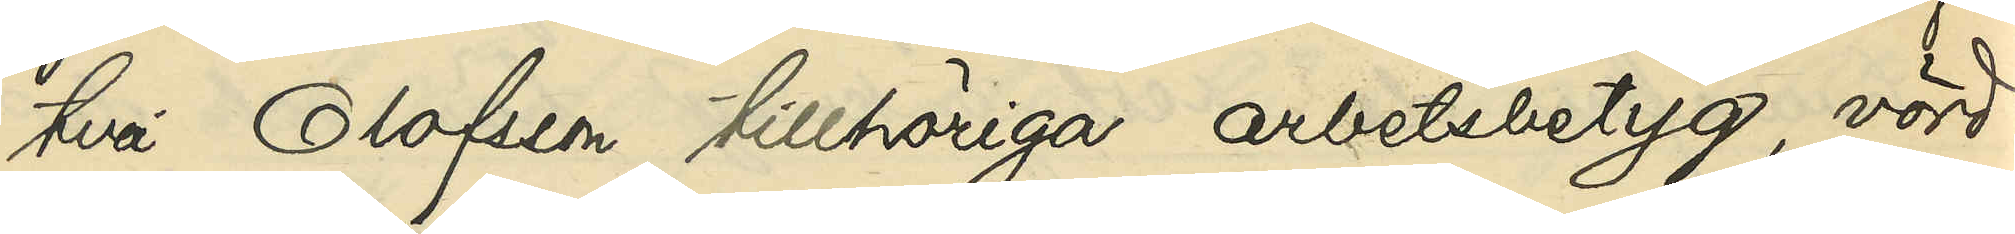två Olofsson tillhöriga arbetsbetyg, vörd¬
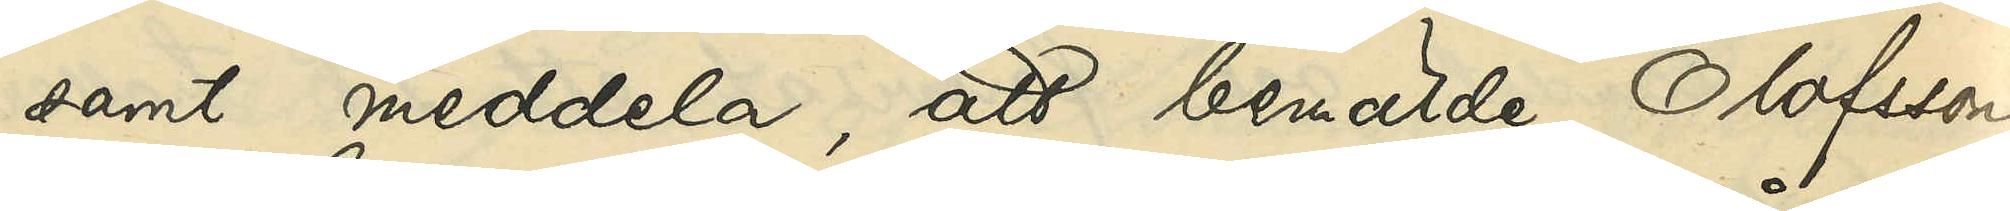samt meddela, att bemälde Olofsson
